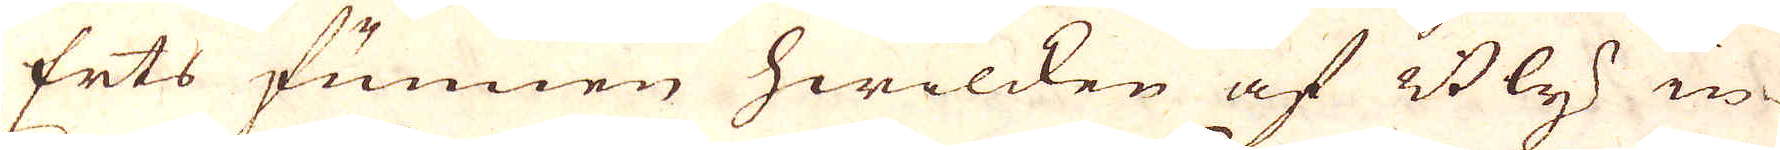Erts funnen hwilken af Bly in-
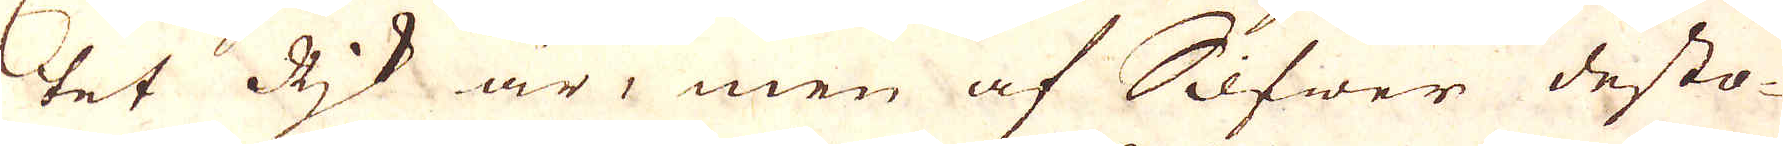tet Rjk är, men af Silfwer desto-
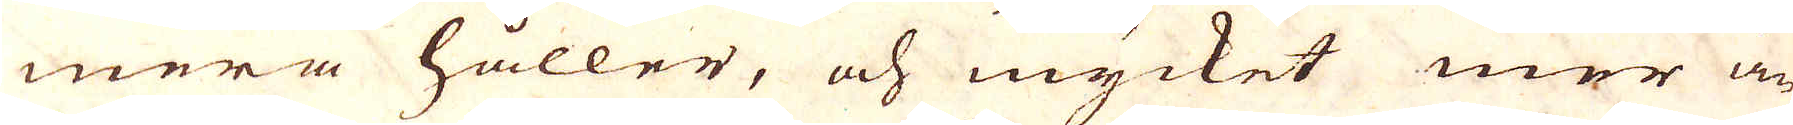mera håller, och mycket mer än
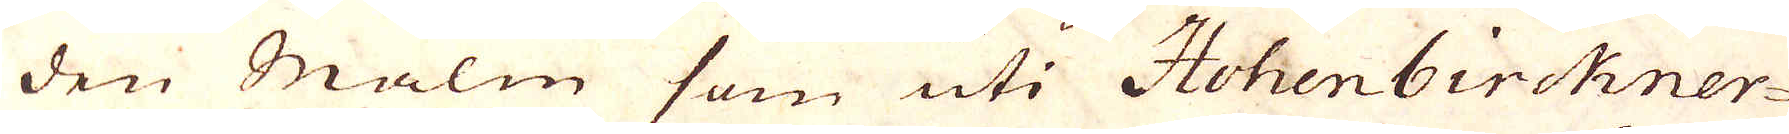den Malm som uti Hohenbirckner-
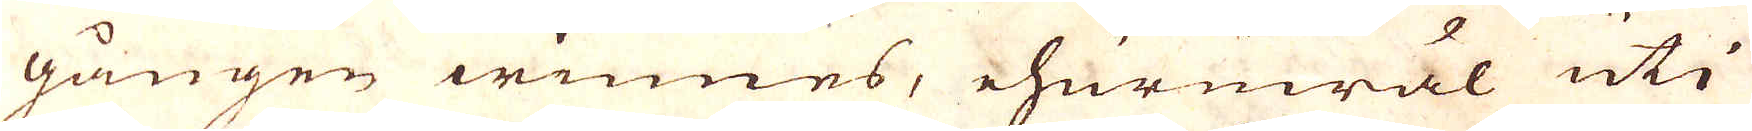gången winnes, ehuruwäl uti
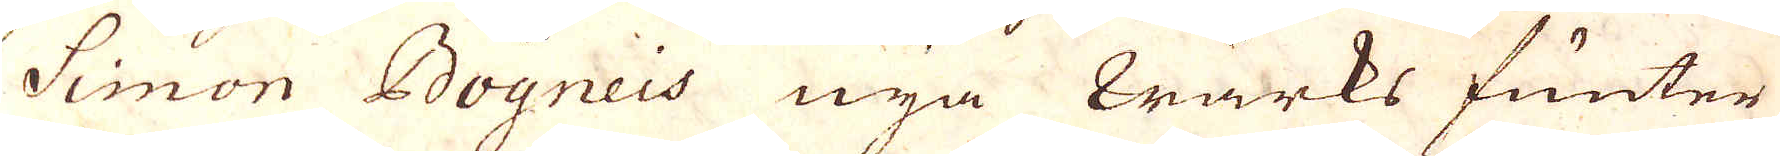Simon Bogneis nya wärks funter
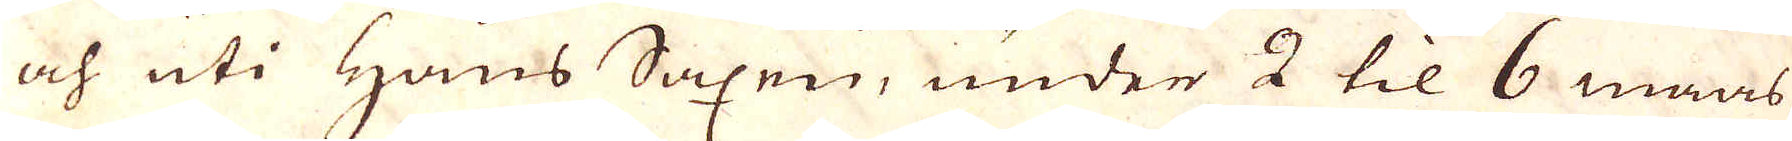och uti Hans Saxen, under 2 til 6 maas
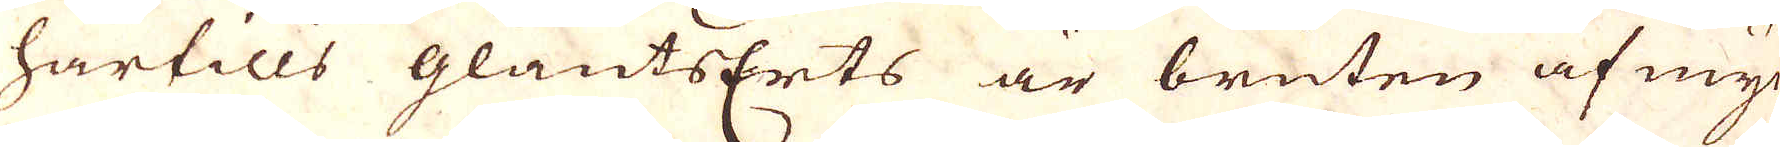härtills glantsErts är bruten af myc-
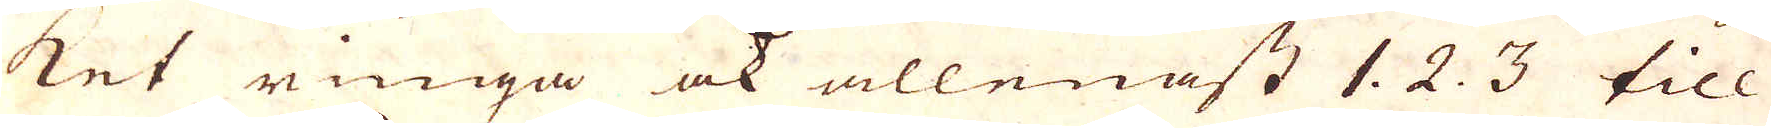ket ringa ock allenast 1. 2. 3 till
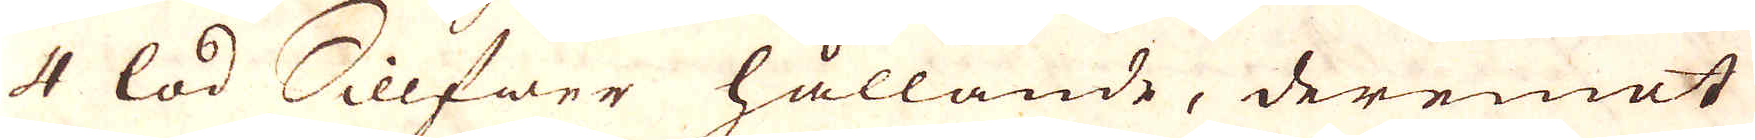4 lod Sillfwer hållande, deremot
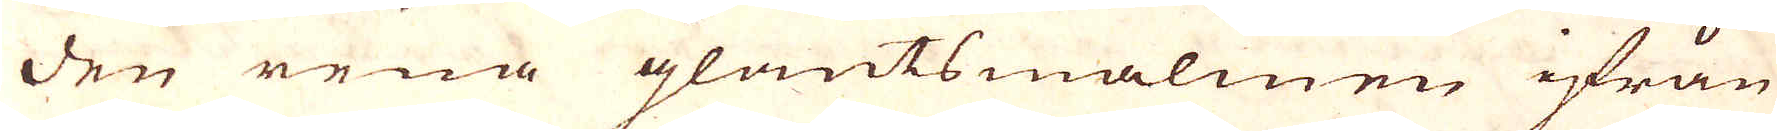den rena glantsmalmen ifrån
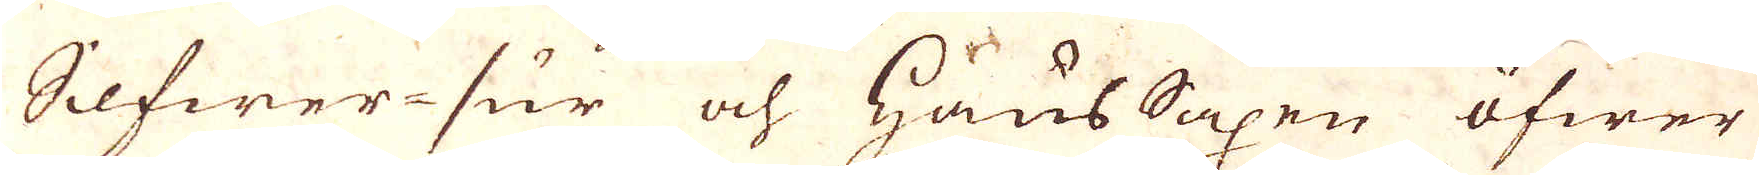Silfwer-sur och haus Saxen öfwer
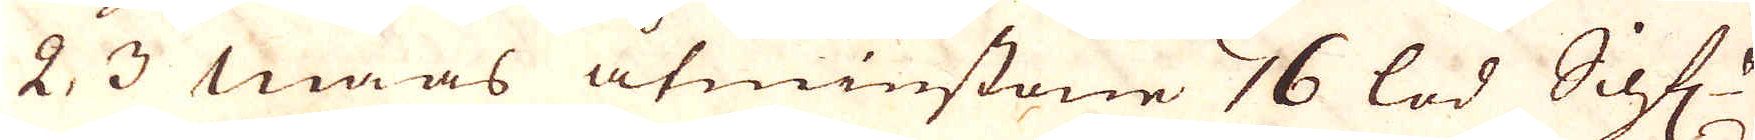2, 3 Maas åtminstone 16 lod Silf
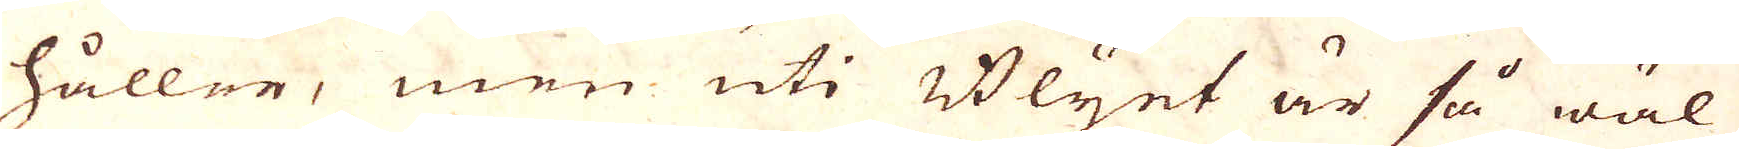håller, men uti Blyet är så wäl
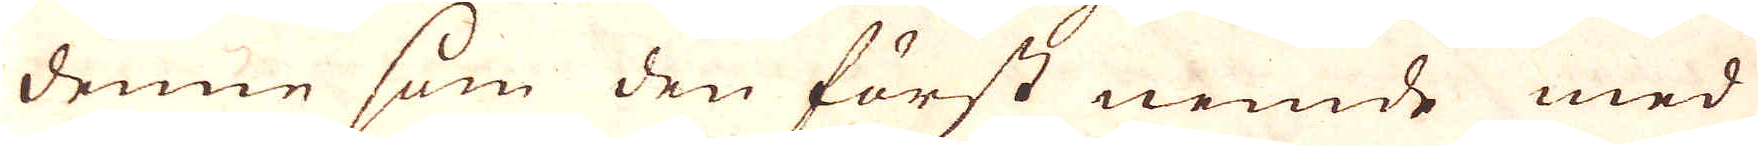denne som den först nemde med
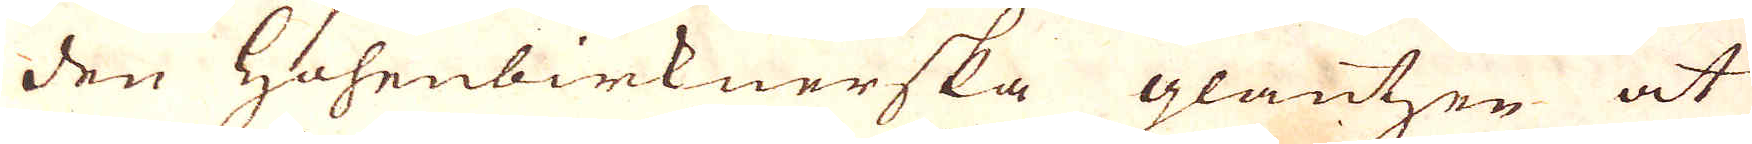den Hohenbirknerska glanten at
